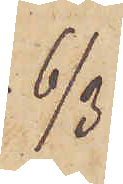6/3
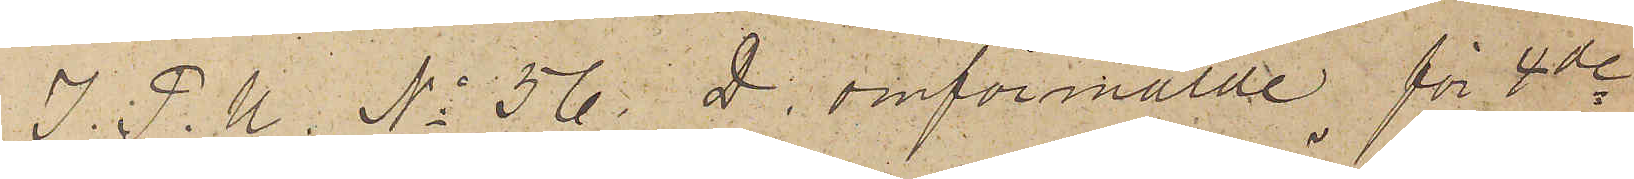I. P. U. No 56. D. omförmälde för 4de
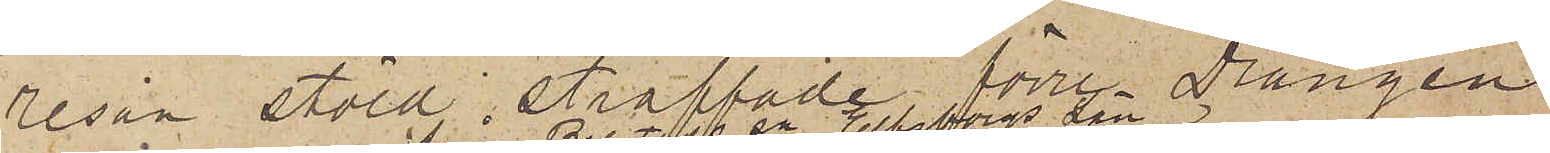resan stöld straffade förre Drängen
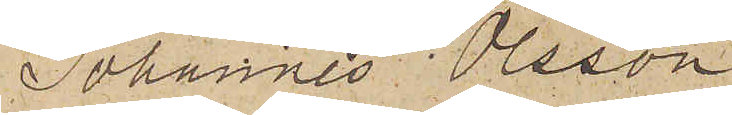Johannes Olsson
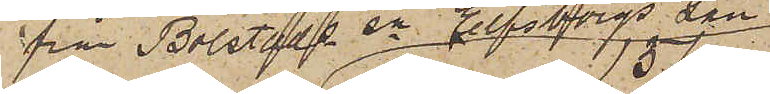från Bolstads sn Elfsborgs Län
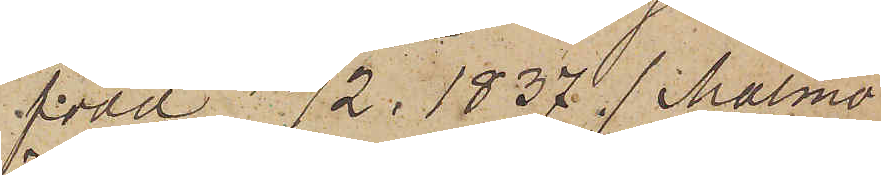född 15/2 1837 (Malmö
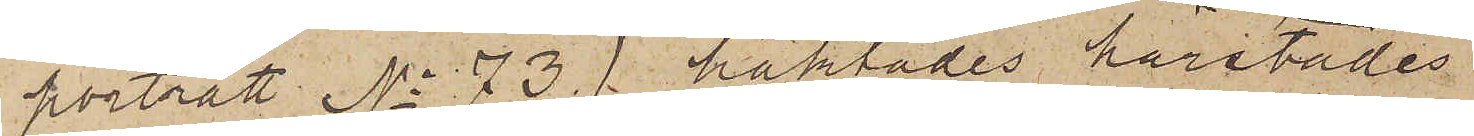porträtt No 73) häktades härstädes
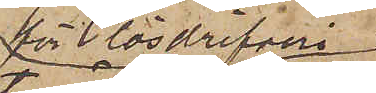för lösdrifveri
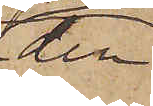den
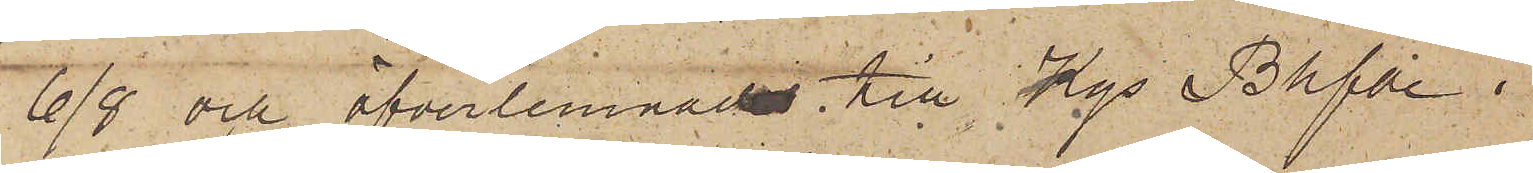6/8 och öfverlemnades till Kgs Bhfde i
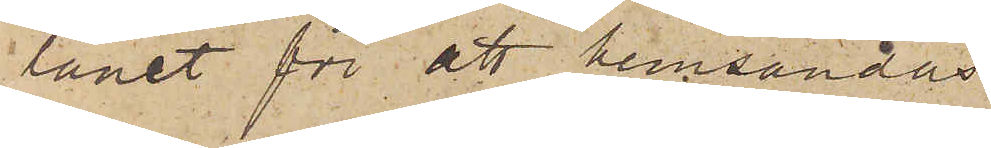länet för att hemsändas
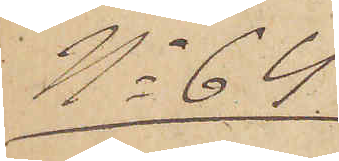No 64
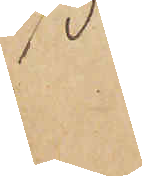6/3
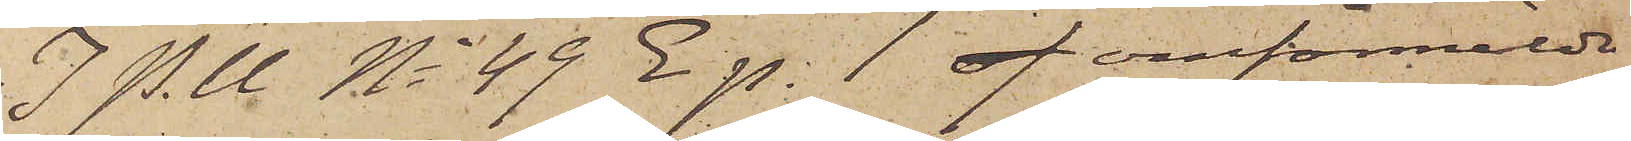I P. U. No 49 E p. 1 of omförmälda
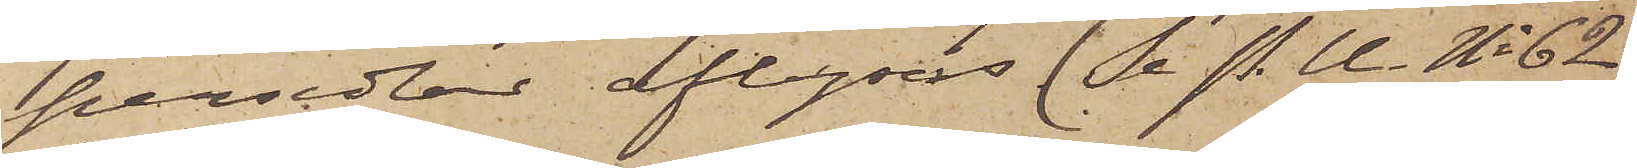persedlar aflyses (Se P.U. No 62
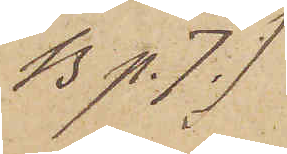B p. 7.)
